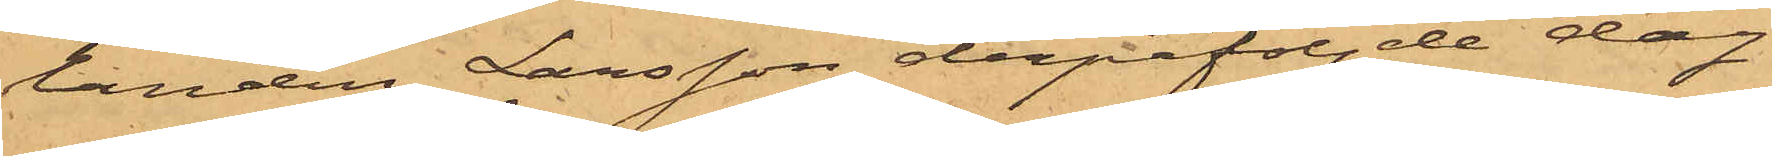landen Larsson derpåföljde dag
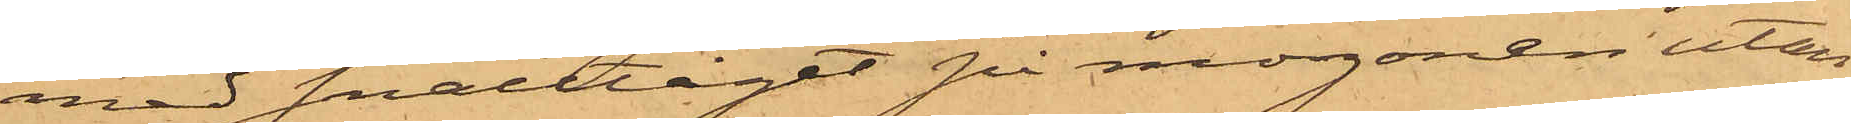med snälltåget på morgonen utan
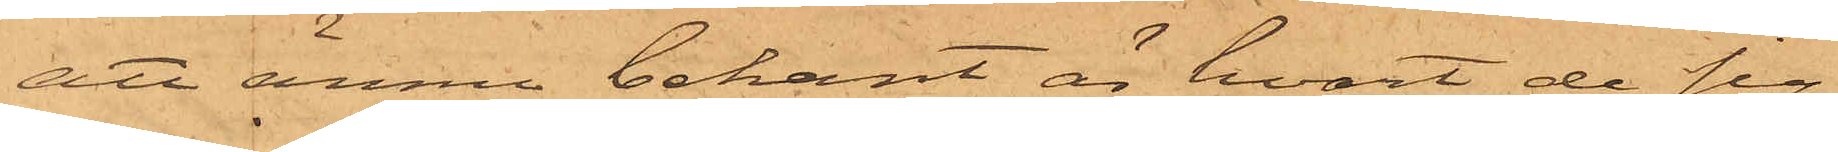att ännu bekant är hvart de sig
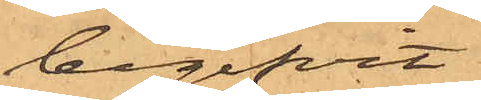begifvit.
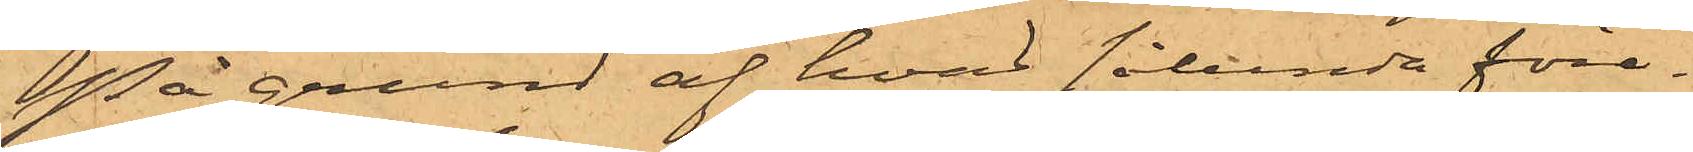På grund af hvad sålunda före¬
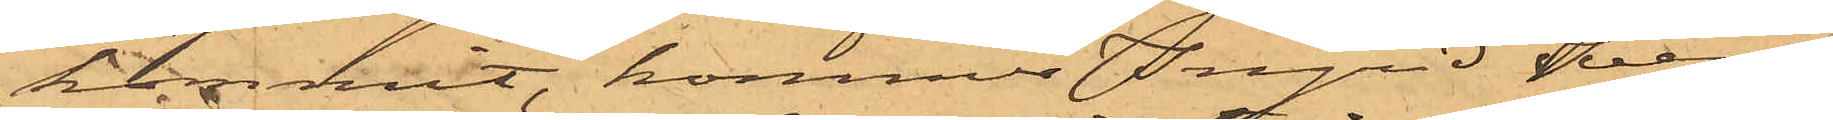kommit, kommer Ingrid Svens¬
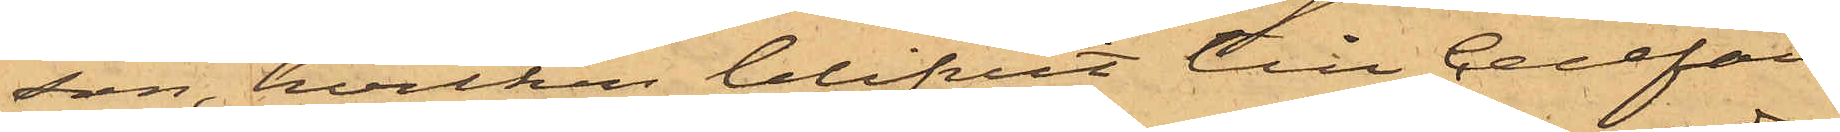son, hvilken blifvit till Cellfän¬
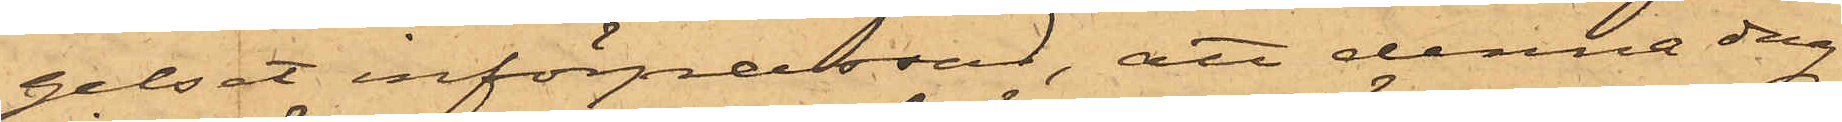gelset införpassad, att denna dag
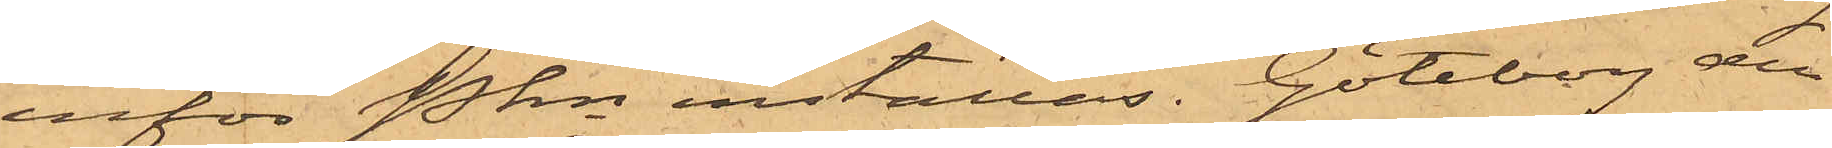inför Pkn inställas. Göteborg den
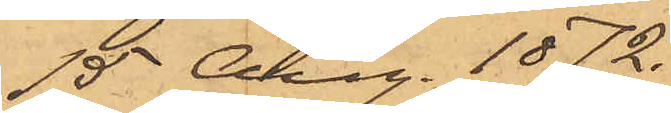15 Aug. 1872.
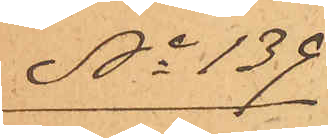No 139
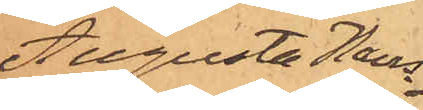Augusta Hans¬
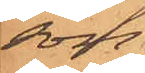son
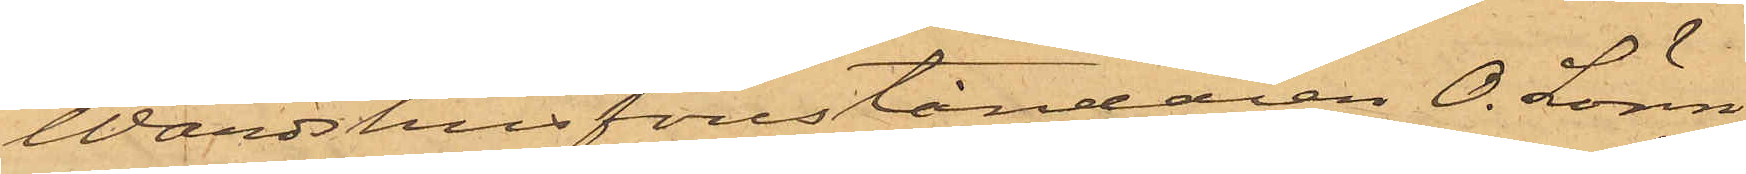Wärdshusföreståndaren O. Lönn¬
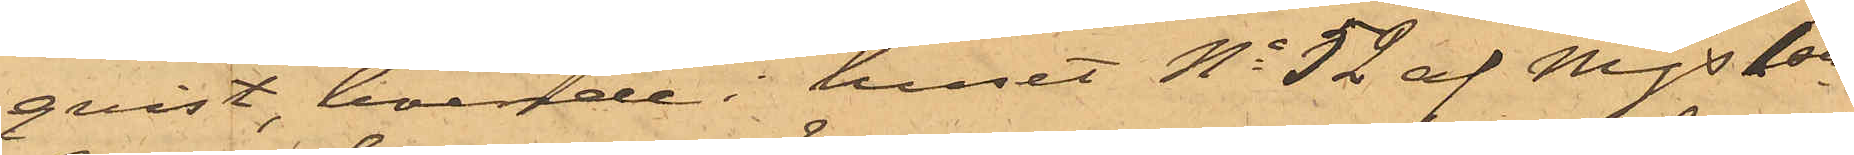qvist, boende i huset No 52 af Mjs 1sta
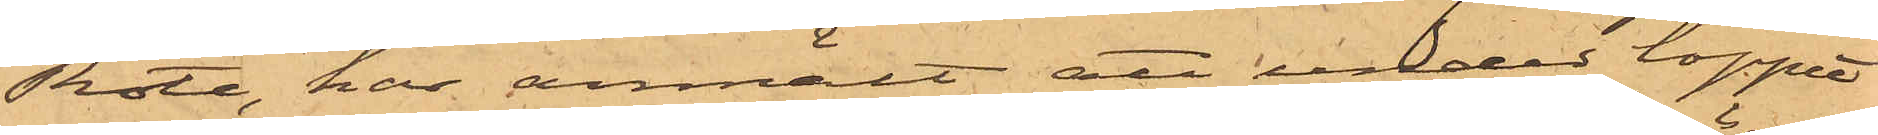Rote, har anmält att under loppet
